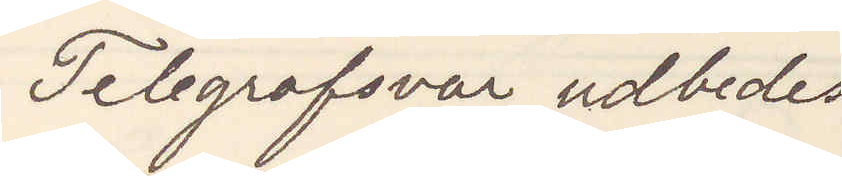Telegrafsvar udbedes
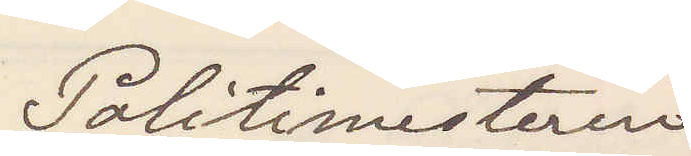Politimesteren
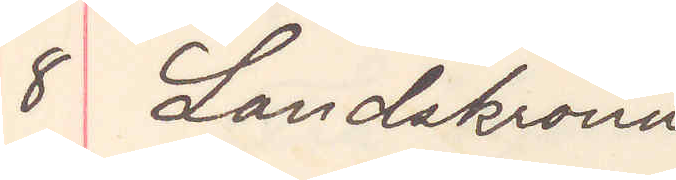8 Landskrona
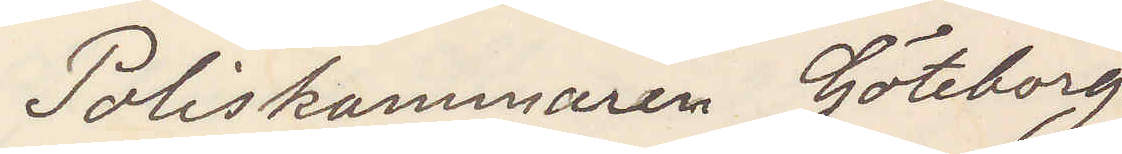Poliskammaren Göteborg
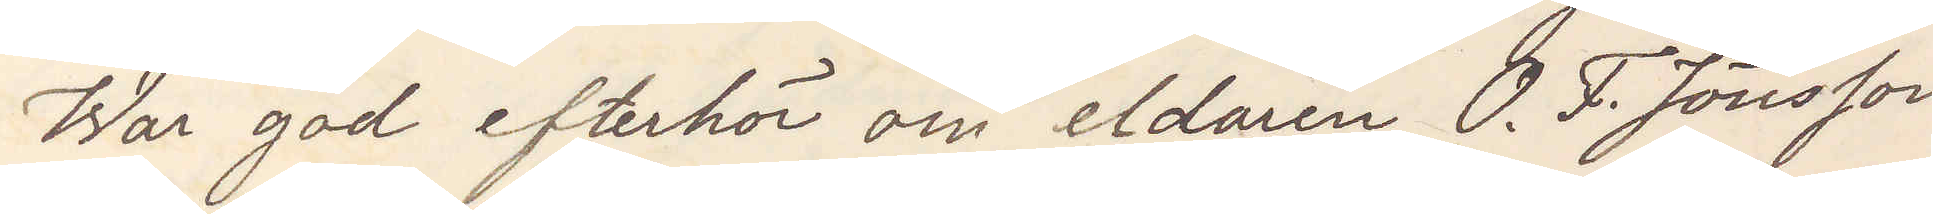War god efterhör om eldaren O. F. Jönsson
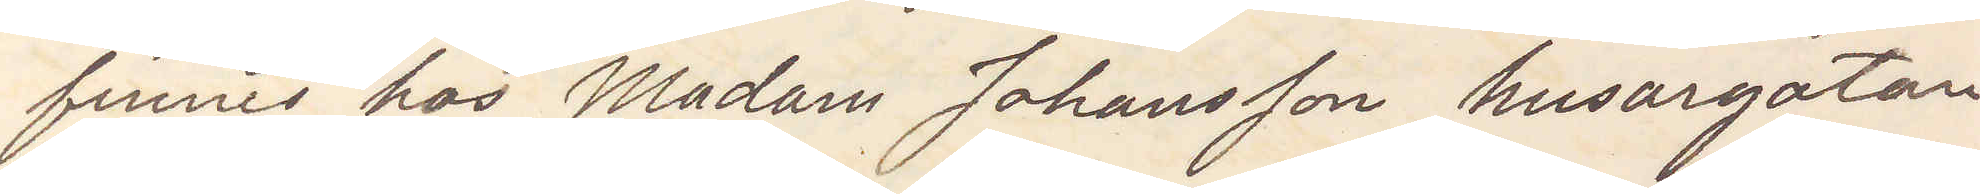finnes hos Madam Johansson Husargatan
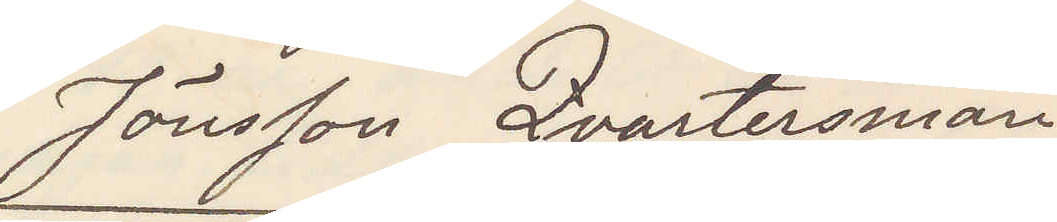Jönsson Qvartersman
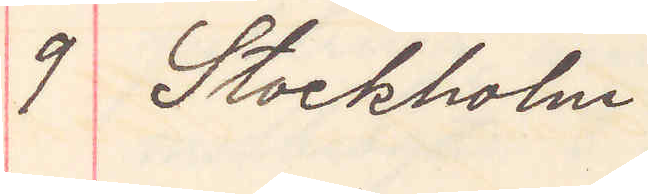9 Stockholm
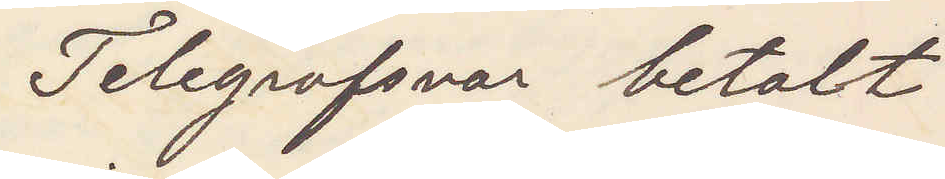Telegrafsvar betalt
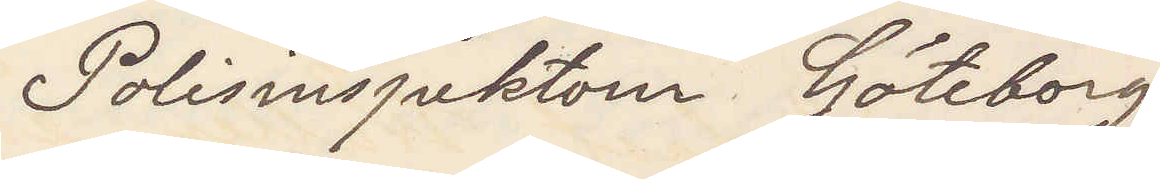Polisinspektorn Göteborg
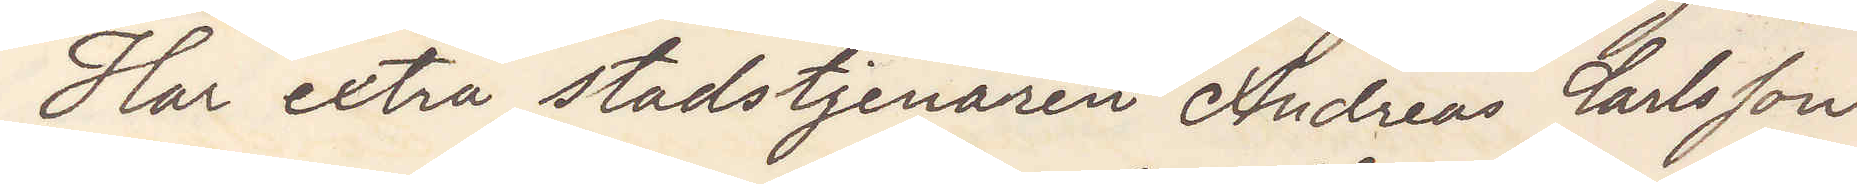Har extra stadstjenaren Andreas Carlsson
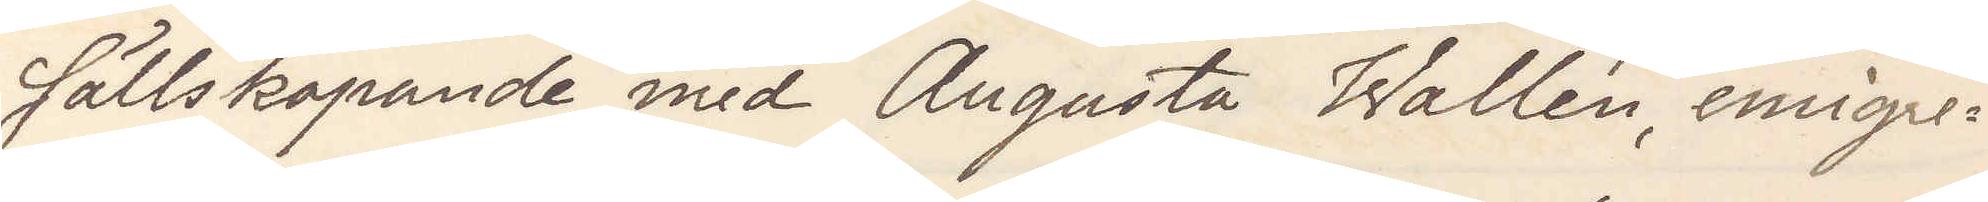sällskapande med Augusta Wallén emigre¬
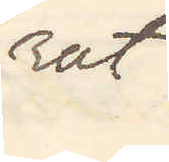rat.
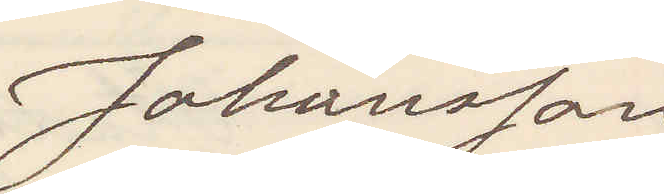Johansson
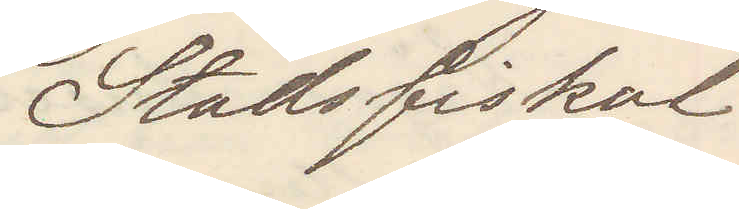Stadsfiskal.
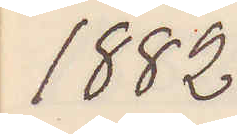1882
